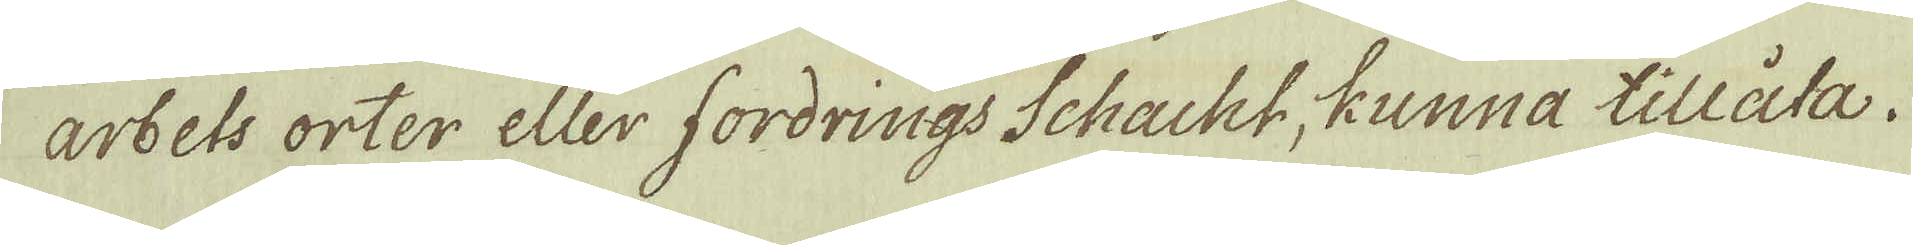arbets orter eller fordrings Schacht, kunna tillåta.
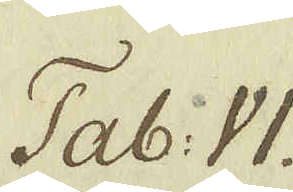Tab: VI.
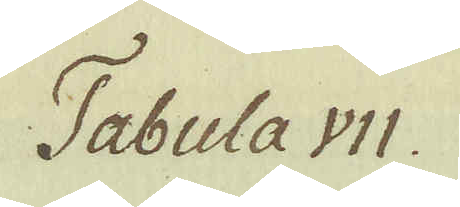Tabula VII.
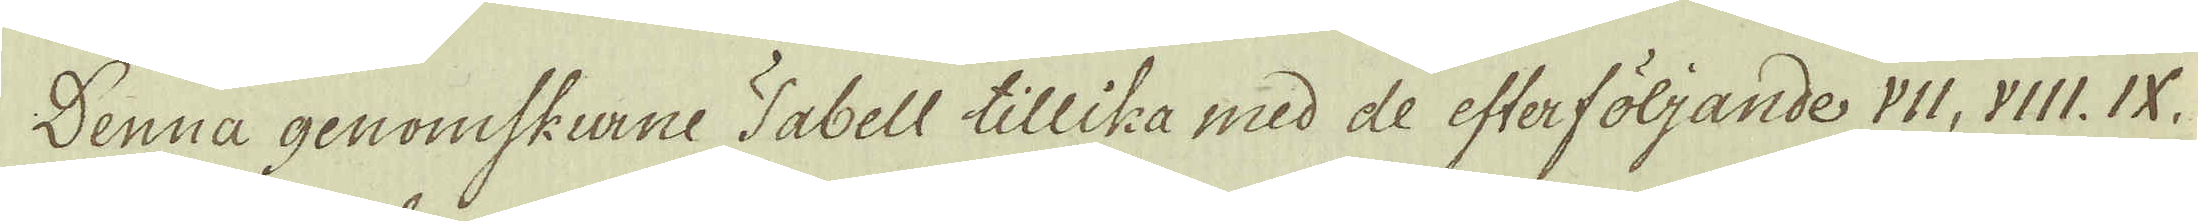Denna genomskurne Tabell tillika med de efterföljande VII, VIII. IX,
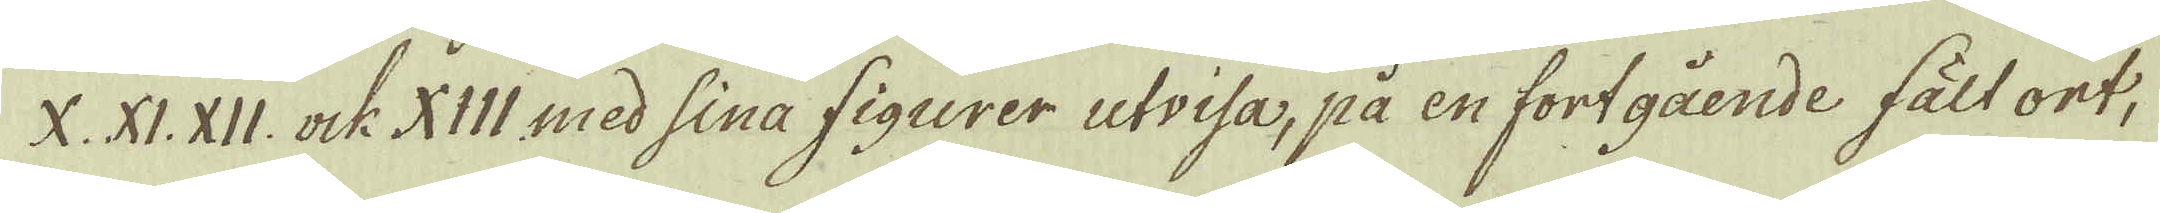X. XI. XII. ock XIII med sina figurer utvisa, på en fortgående fält ort,
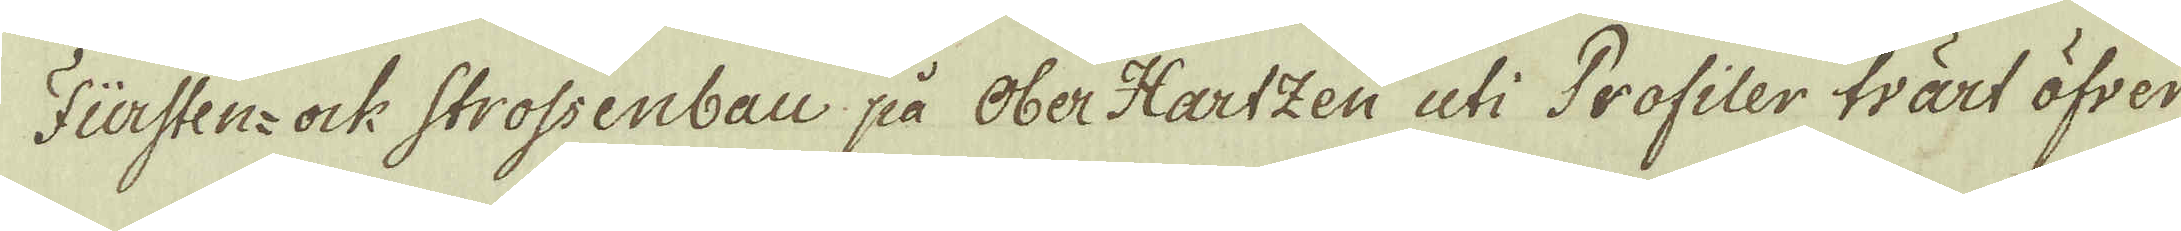Fürsten- ock Strossenbau på Ober Hartzen uti Profiler tvärt öfver
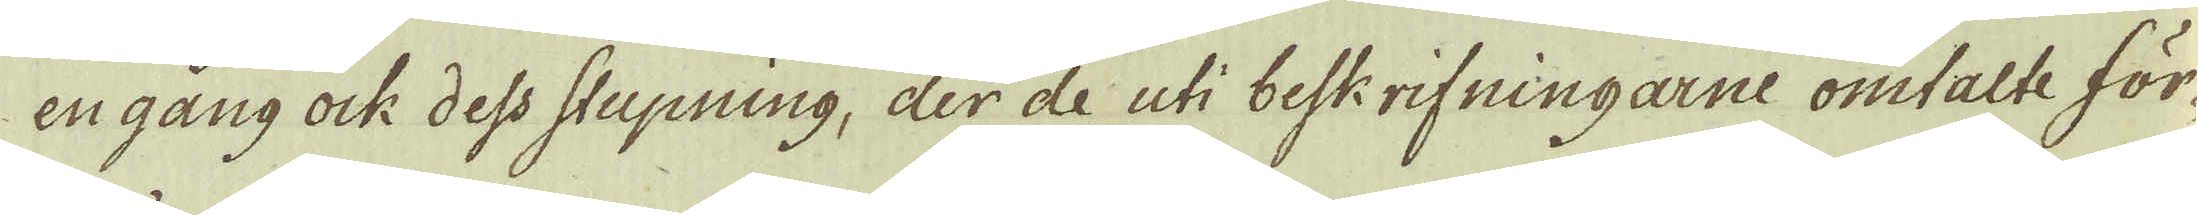en gång ock dess stupning, der de uti beskrifningarne omtalte för-
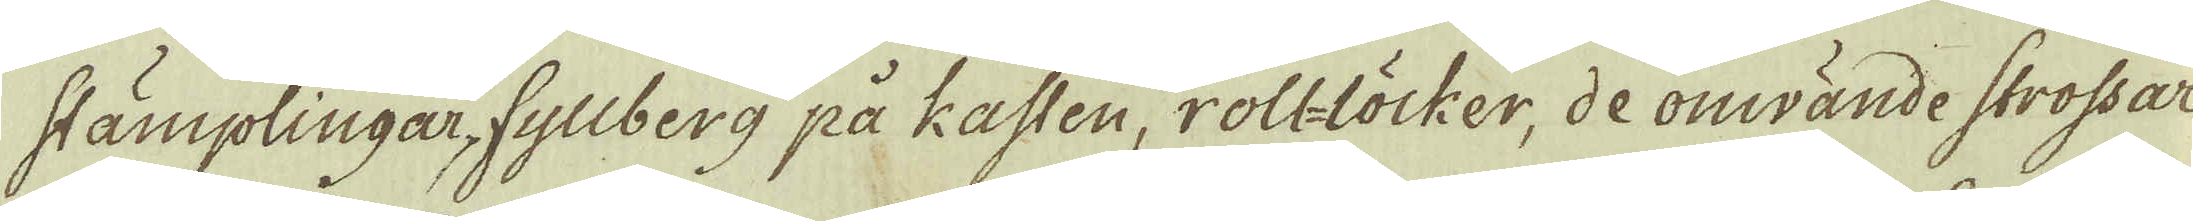stämplingar, fyllberg på Kasten, roll-löcker, de omvände strossar
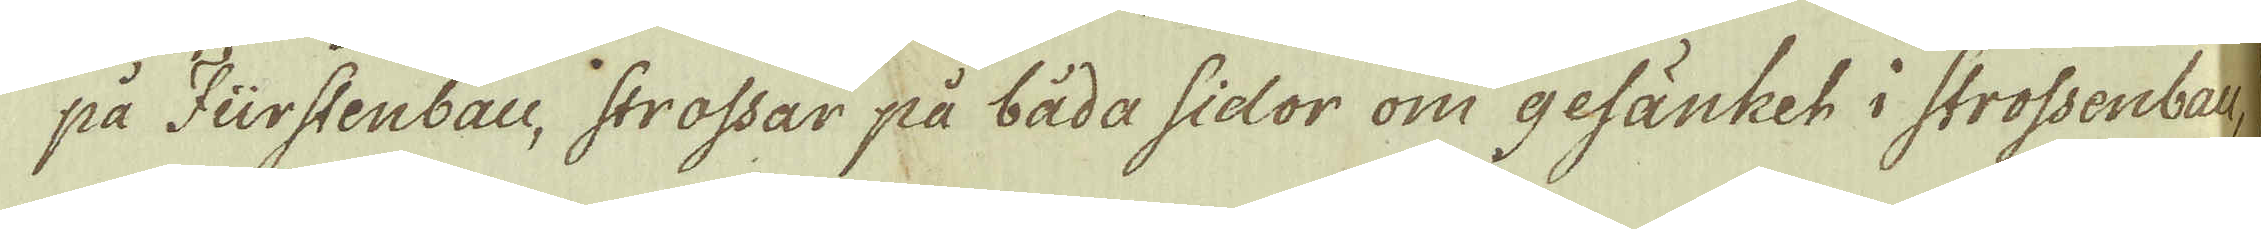på Fürstenbau, strossar på båda sidor om gefänket i strossenbau,
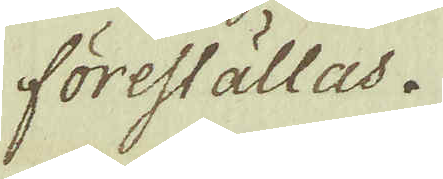föreställas.
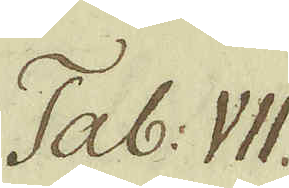Tab: VII.
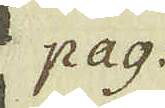pag:
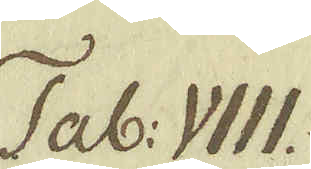Tab: VIII.
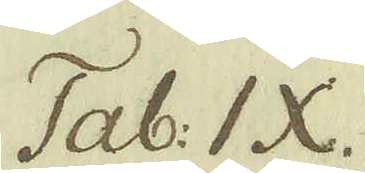Tab: IX.
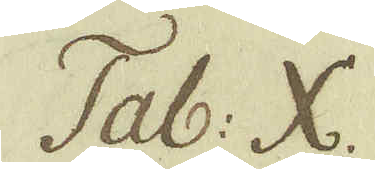Tab: X.
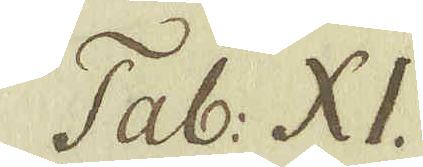Tab: XI.
